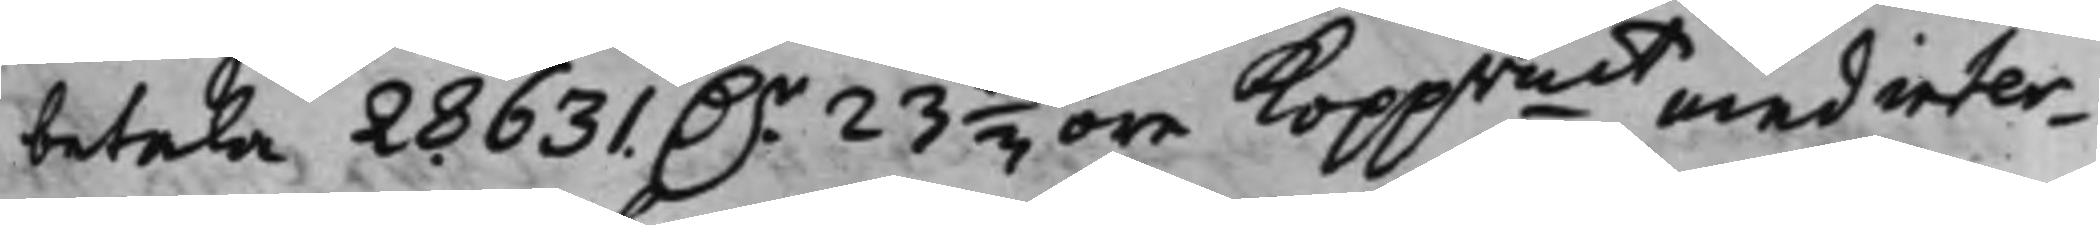betala 28631. D.r 23 1/3 öre Koppmt med inter¬
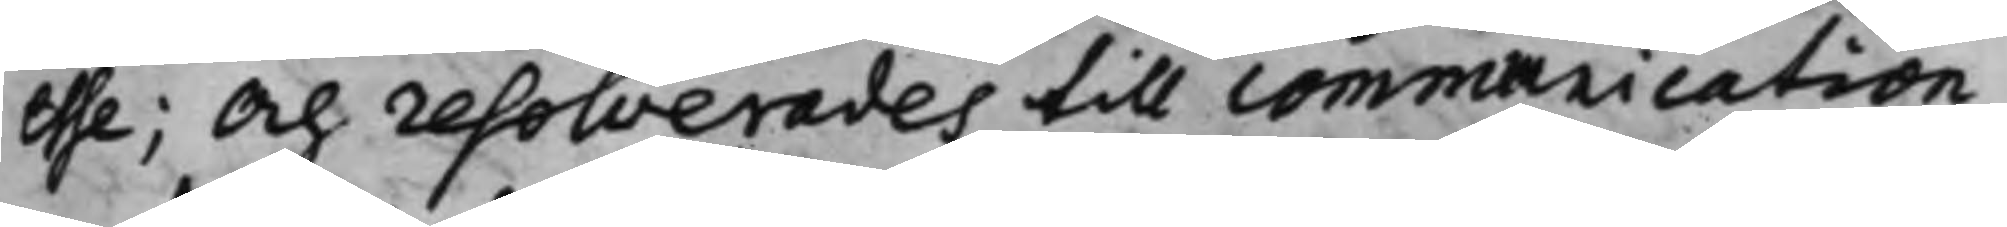esse; Och resolverades till communication
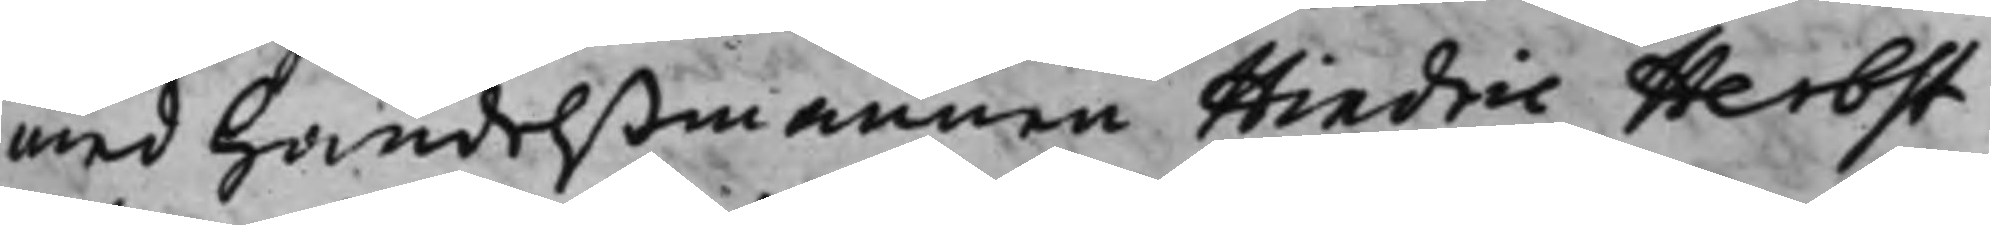med Handelßmannen Hindric Herbst
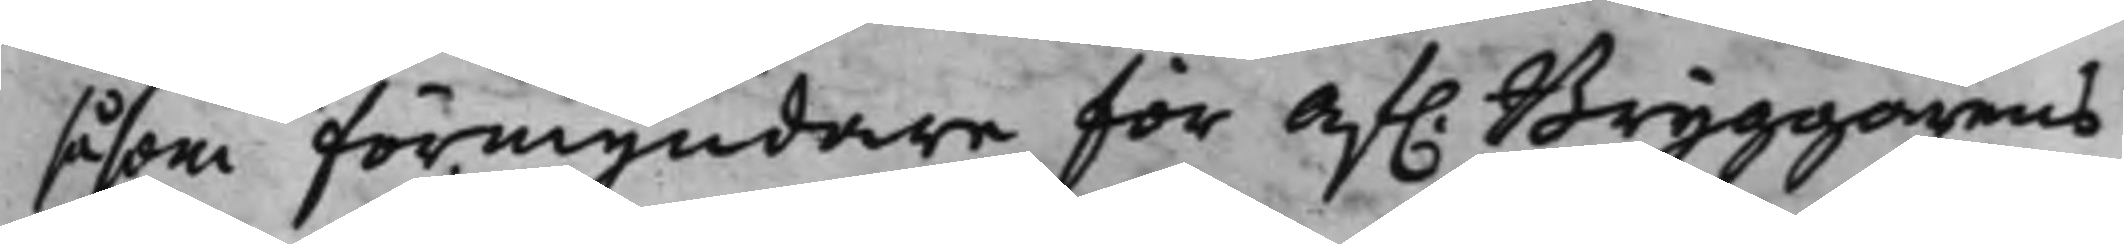såsom förmyndare för af. Bryggarens
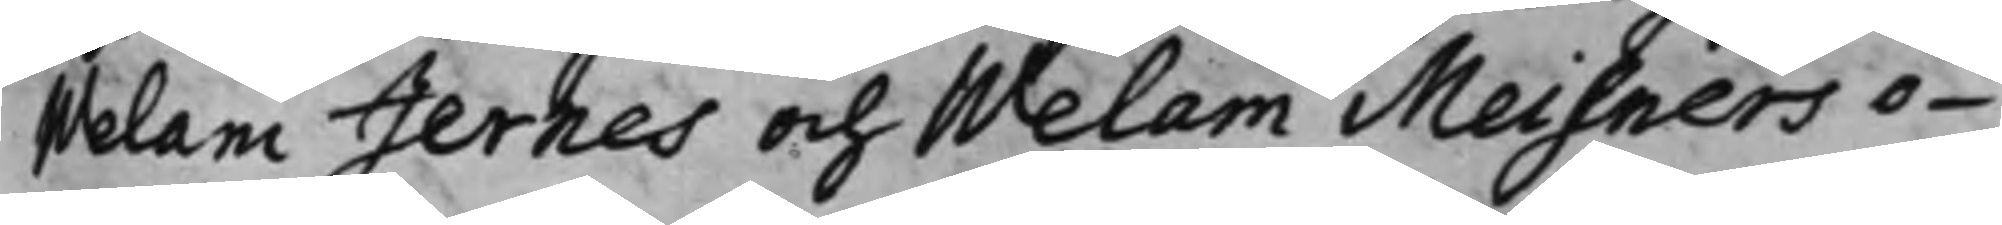Welam Jernes och Welam Meisners o¬
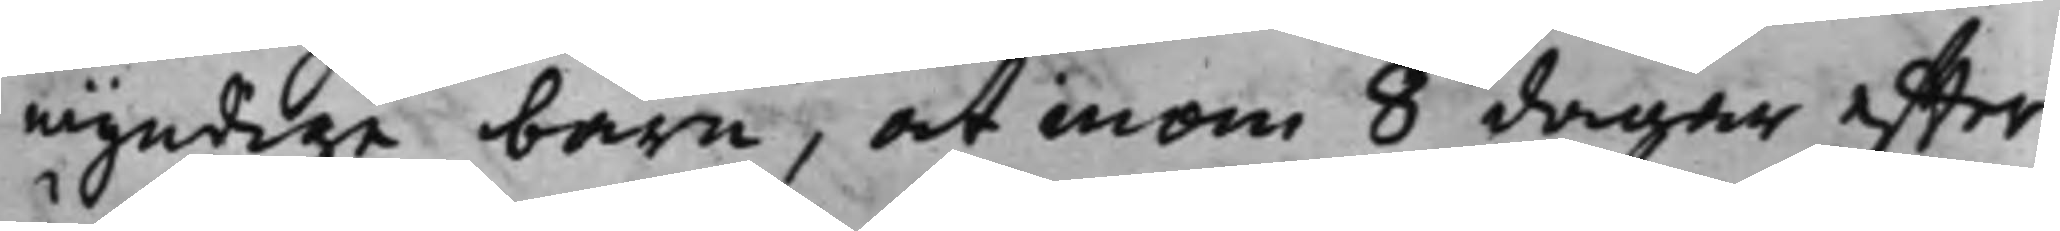myndige barn, at inom 8 dagar effter
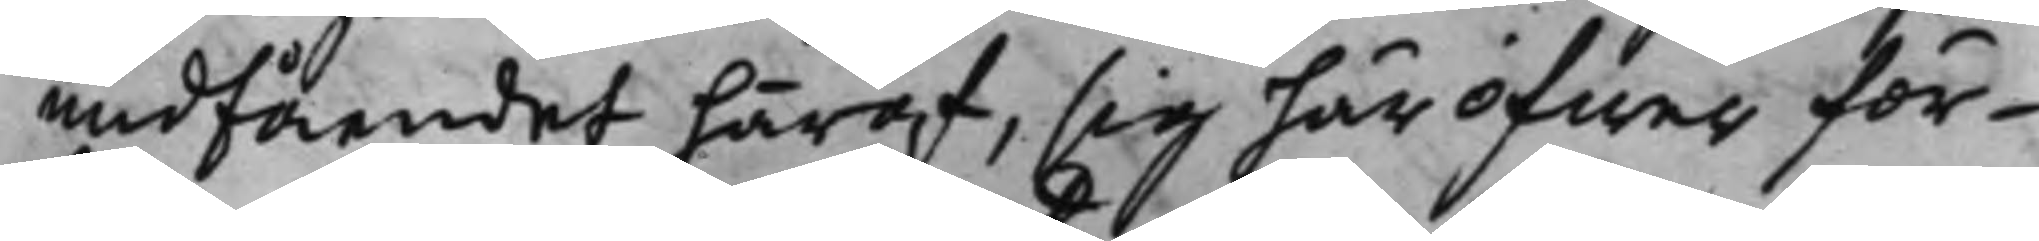undfåendet häraf, sig häröfwer för¬
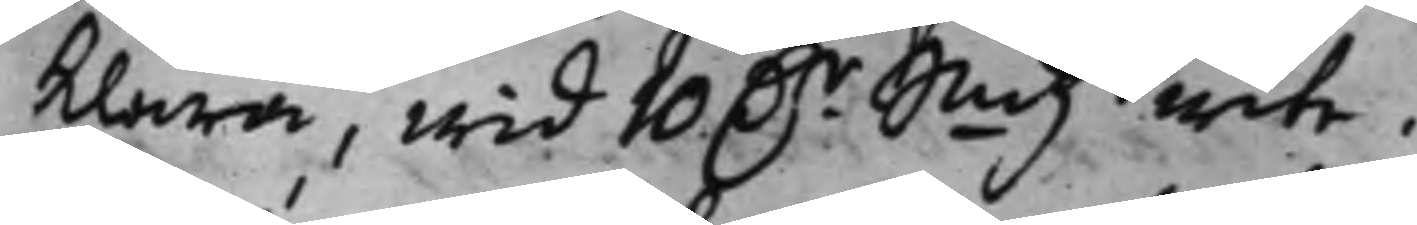klara, wid 10 D.r Smtz wite.
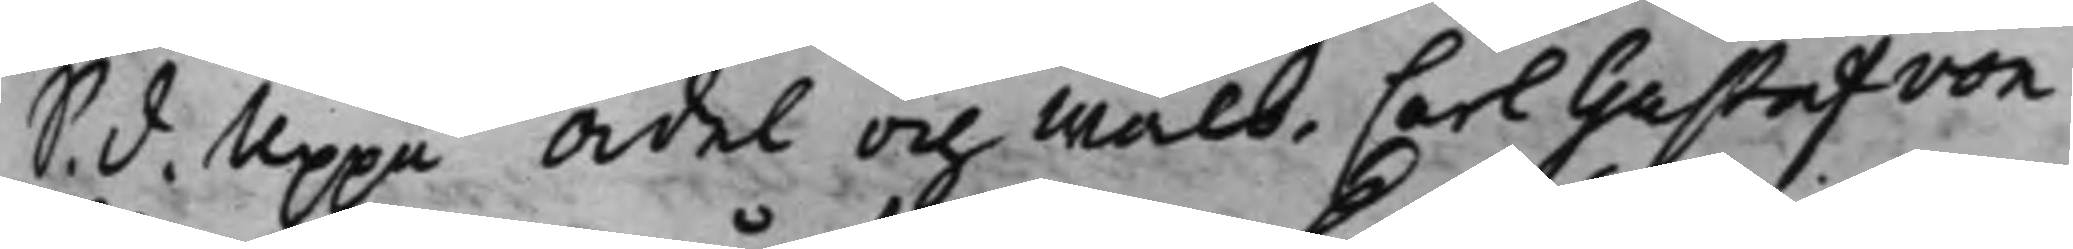S. d. Uppå Ädel och Wälb. Carl Gustaf von
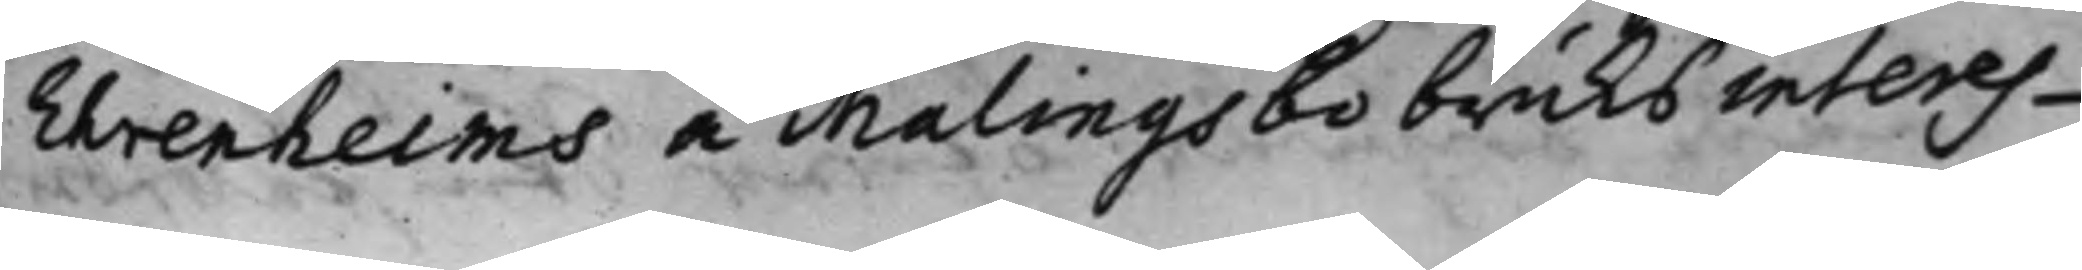Ehrenheims å Malingsbo bruks interes¬
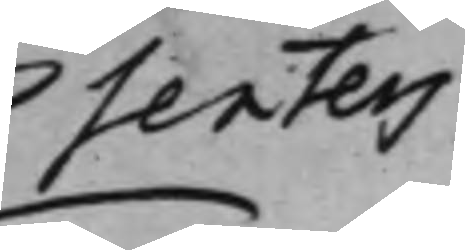senters
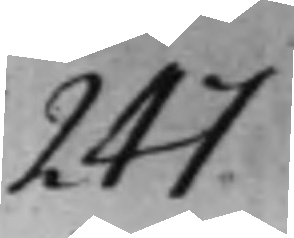247
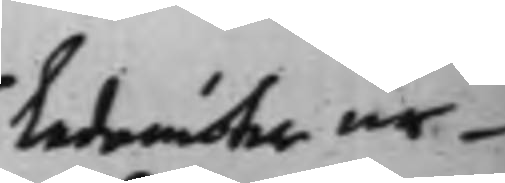Ledemöter ur¬
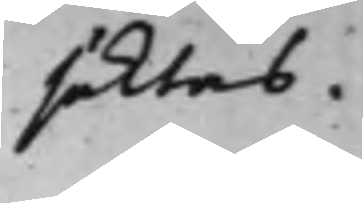säktas.
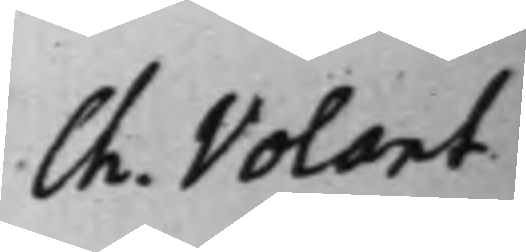Ch. Volant
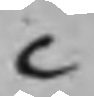C
